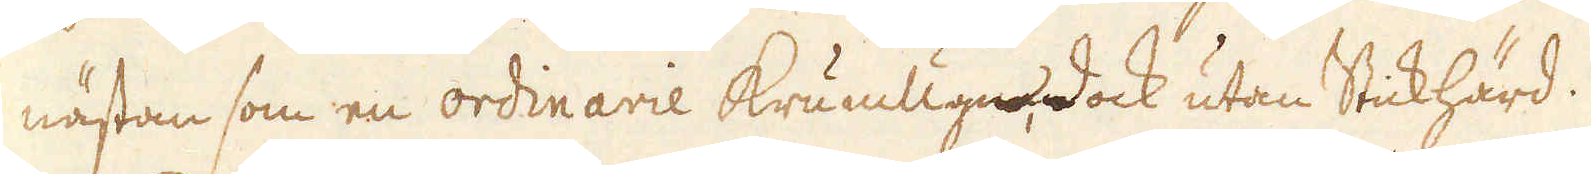nästan som en ordinarie Krumugn, dock utan Stickhärd.
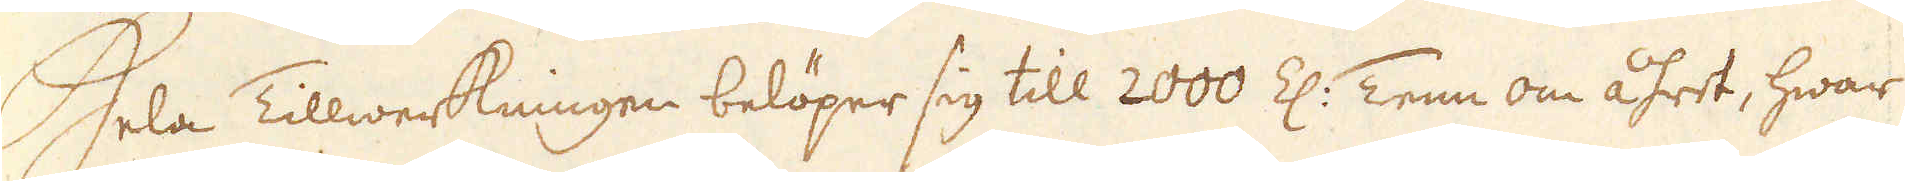Hela Tillwerkningen belöper sig till 2000 Z: Tenn om åhret, hwar
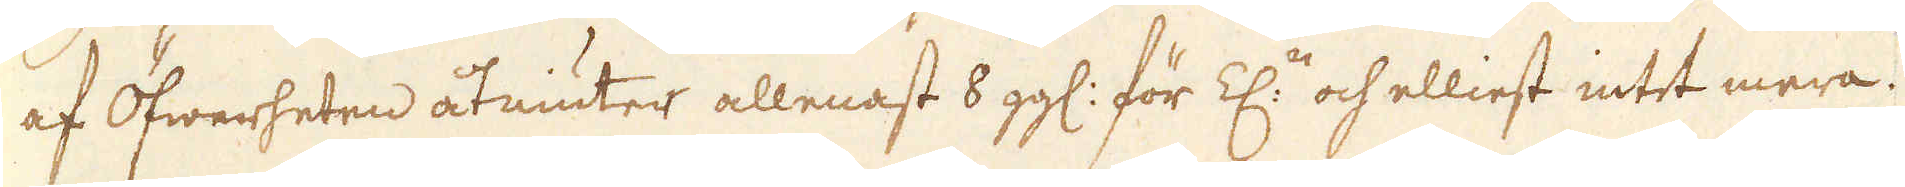af Öfwerheten åtniuter allenast 8 gg: för Z:n och elliest intet mera.
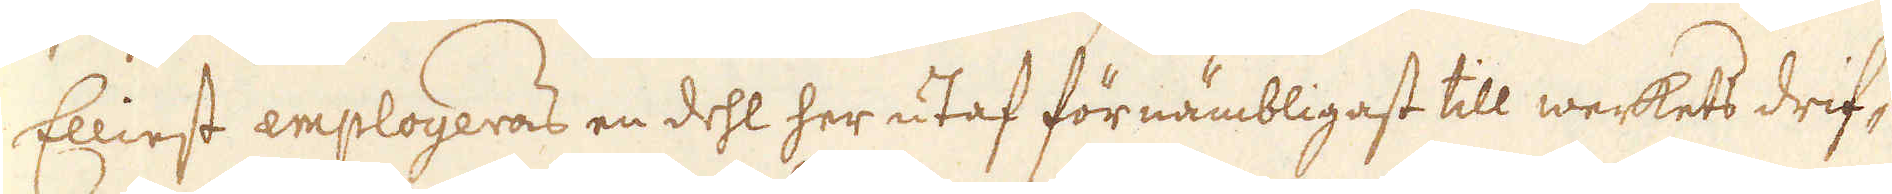Elliest employeras en dehl her utaf förnämbligast till werkets drif-
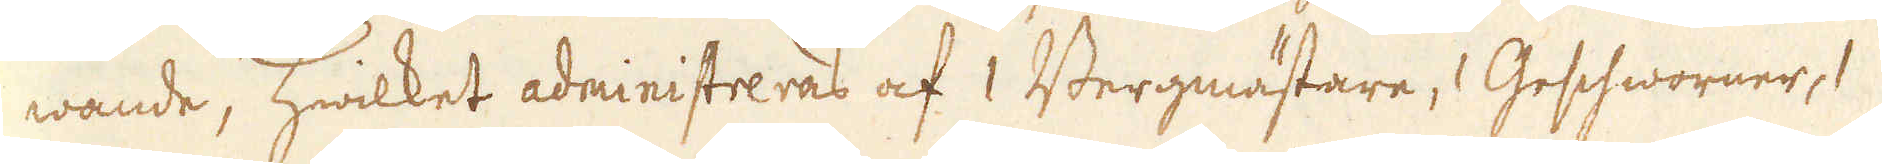wande, hwilket administreras af 1 Bergmästare, Geschworner, 1
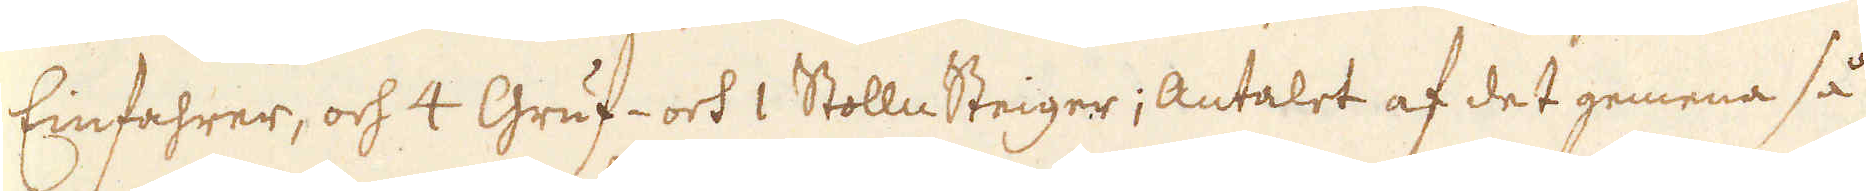Einfahrer, och 4 Gruf- och 1 Stolln Steiger; Antalet af det gemena så
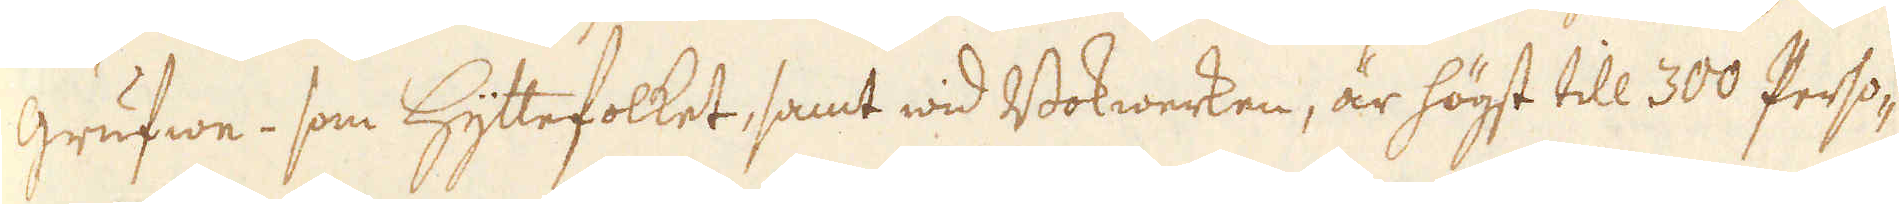grufwe- som hyttefolket, samt wid Bokwerken, är högst till 300 Perso-
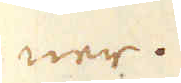ner.
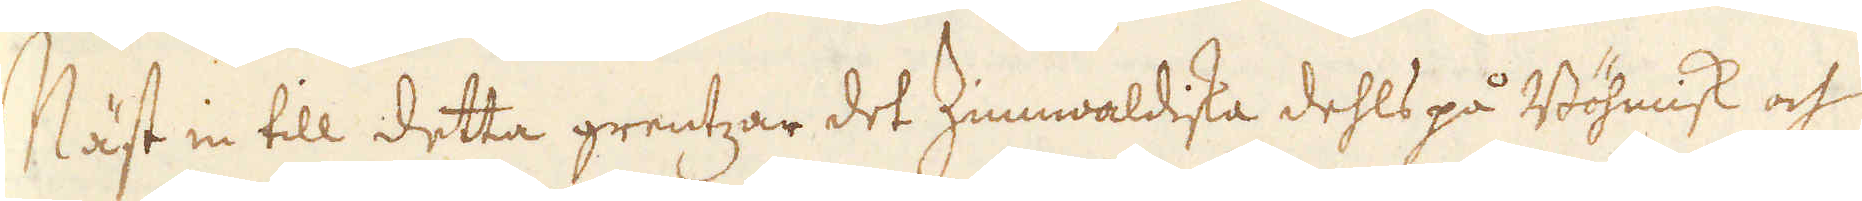Näst in till detta grentzar det Zinmwaldiska dehls på Böhmisk och
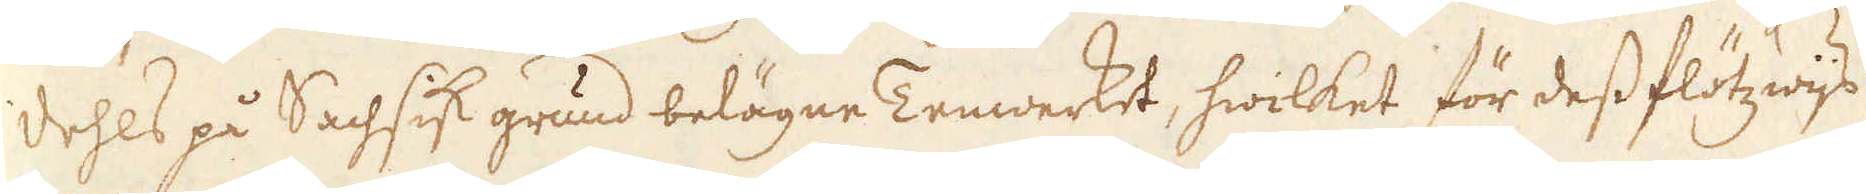dehls på Sachsisk grund belägne Tenwerket, hwilket för dess flötzwijs
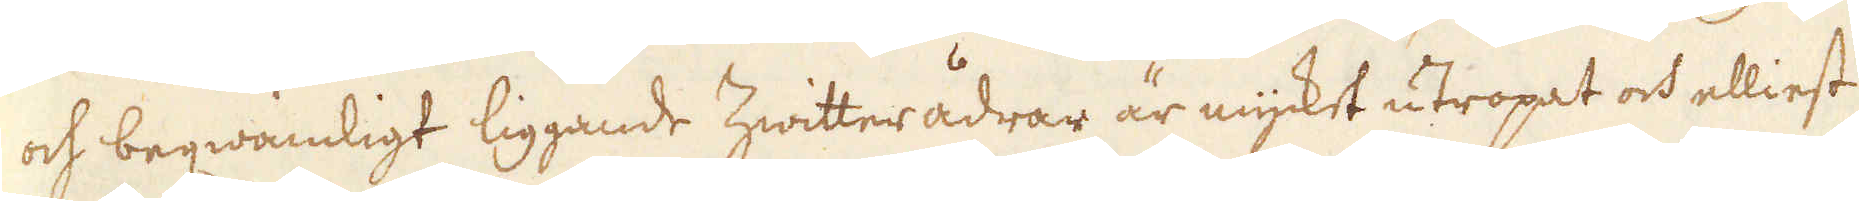och begwämligt liggande Zwitterådrar är mycket utropat och elliest
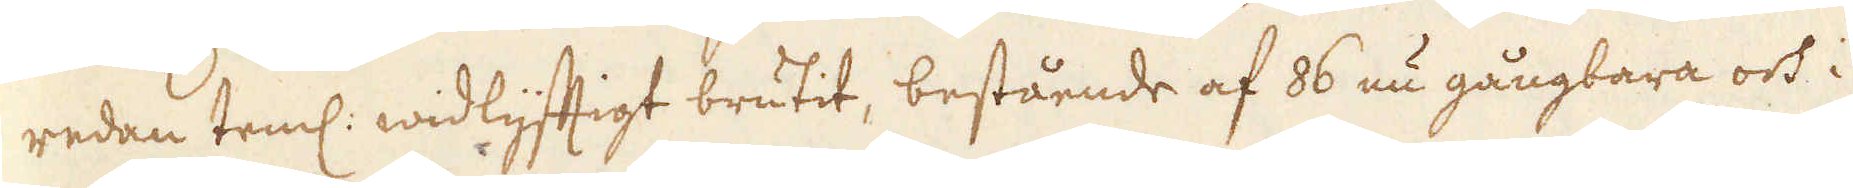redan teml: widlyftigt brutit, bestående af 86 nu gångbara och i
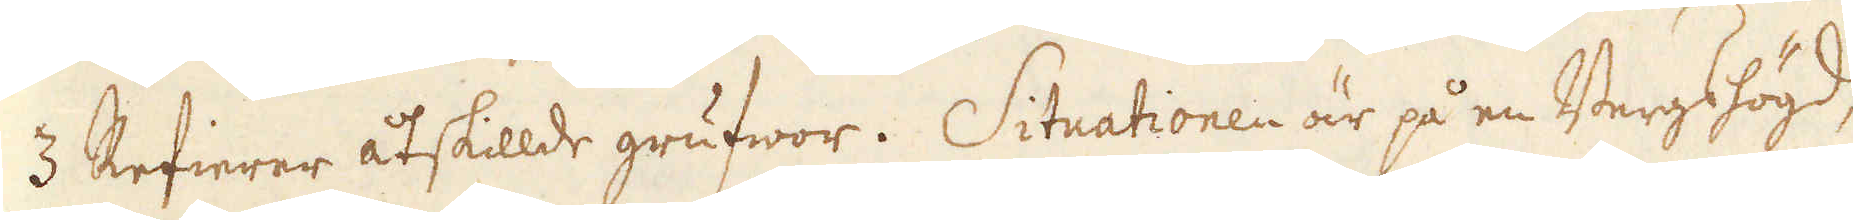3 Refierer åtskillde grufwor. Situationen är på en Bergshögd,
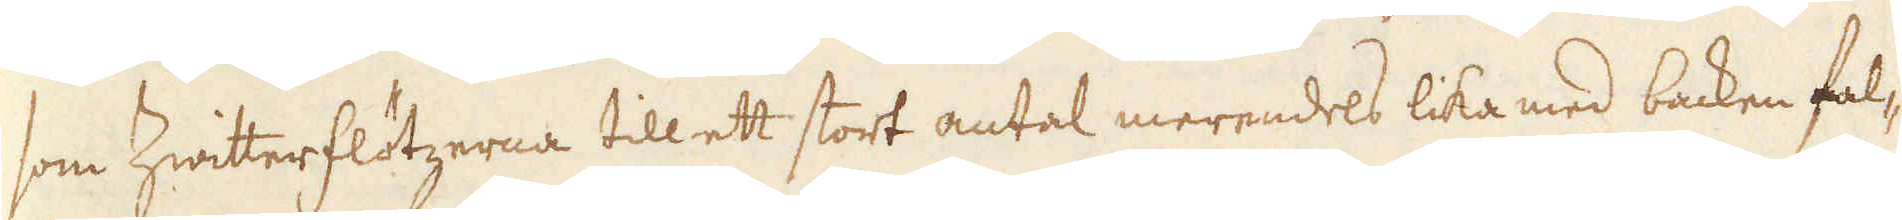som Zwitterflötzerna till ett stort antal merendels lika med backen fal-
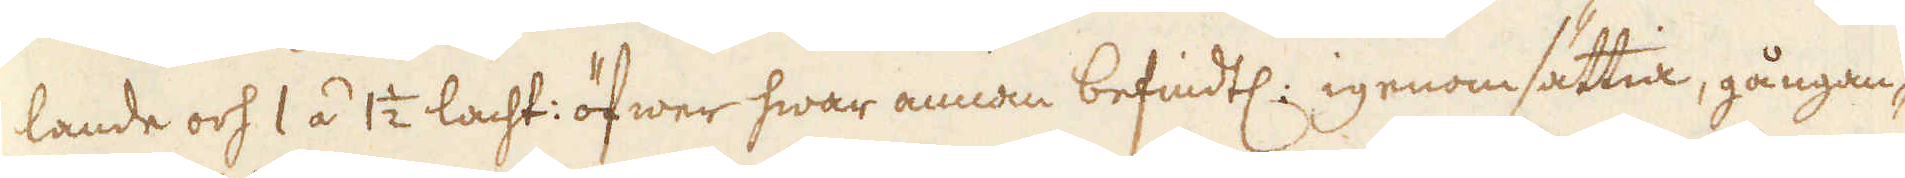lande och 1 á 1 1/2 lacht: öfwer hwar annan befindtl: igenomsättia, gångan-
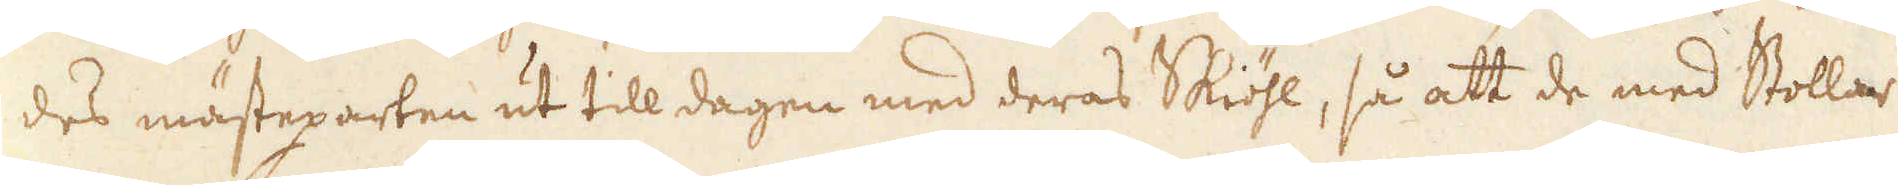des mästeparten ut till dagen med deras Skiöhl, så att de med Stollar
